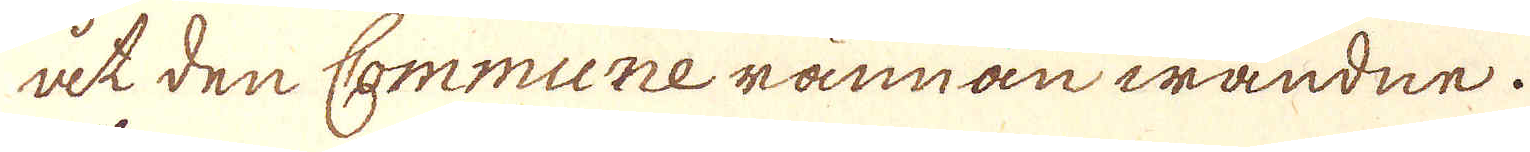at den Commune rännan wändne.
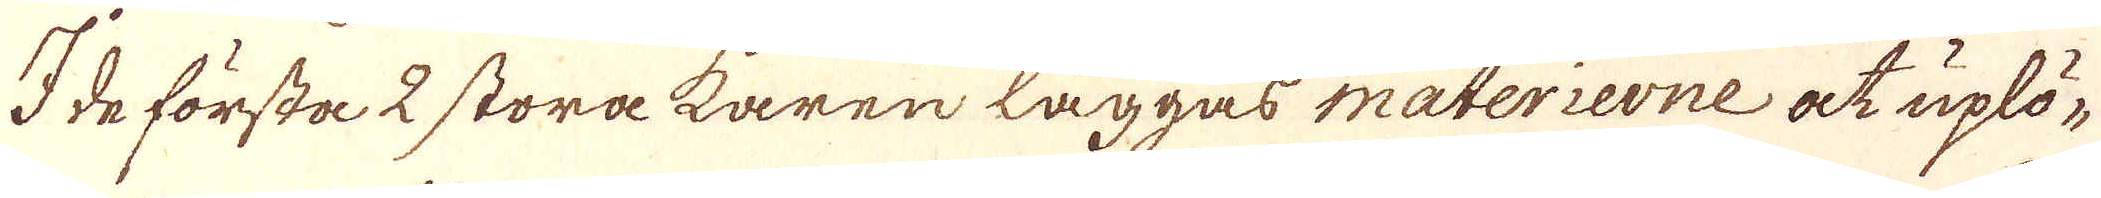I de första 2 stora karen läggas materierne at uplö-
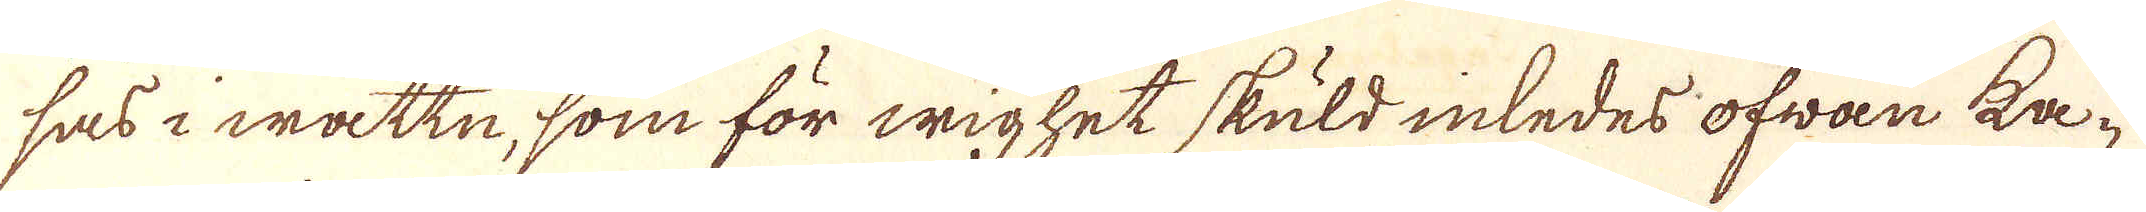sas i wattn, som för wighet skuld inledes ofwan ka-
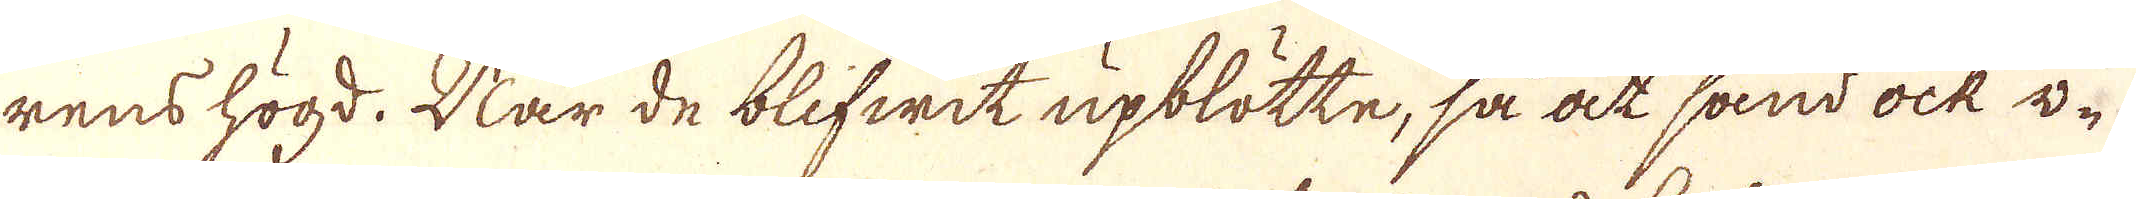rens högd. När de blifwit upblötte, så at sand ock w-
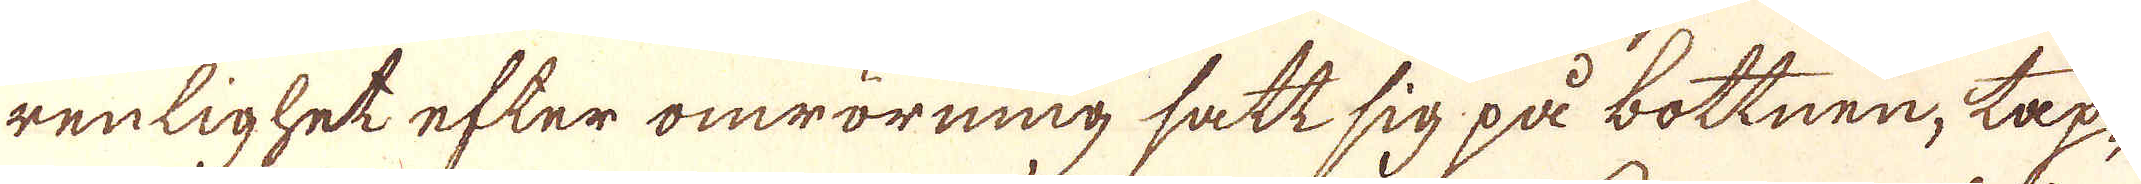renlighet efter omrörning satt sig på bottnen, tap-
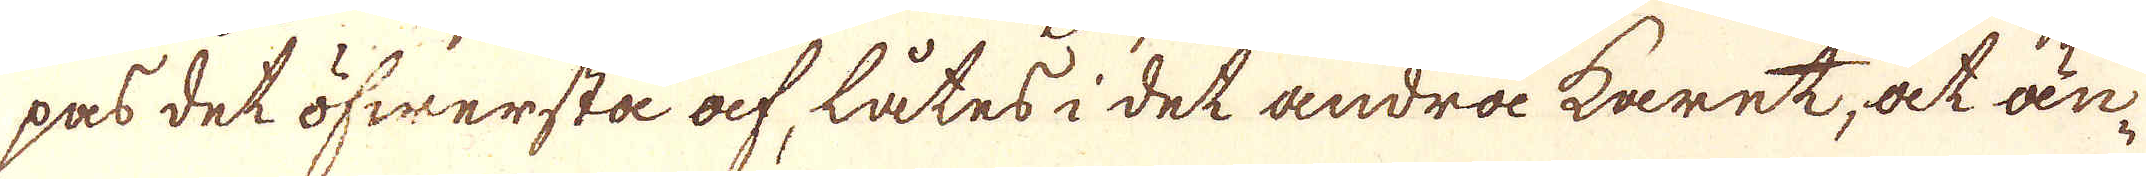pas det öfwersta af, låtes i det andra karet, at an-
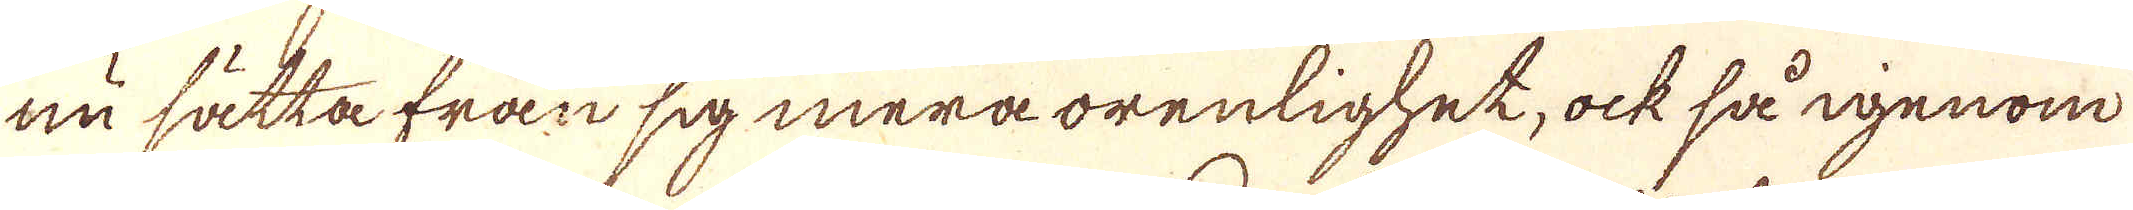nu sätta från sig mera orenlighet, ock så igenom
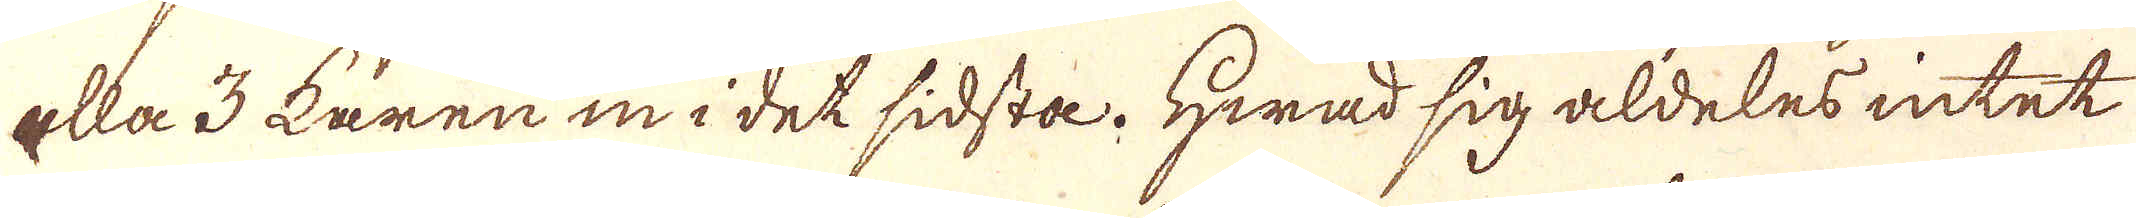alla 3 karen in i det sidsta. Hwad sig aldeles intet
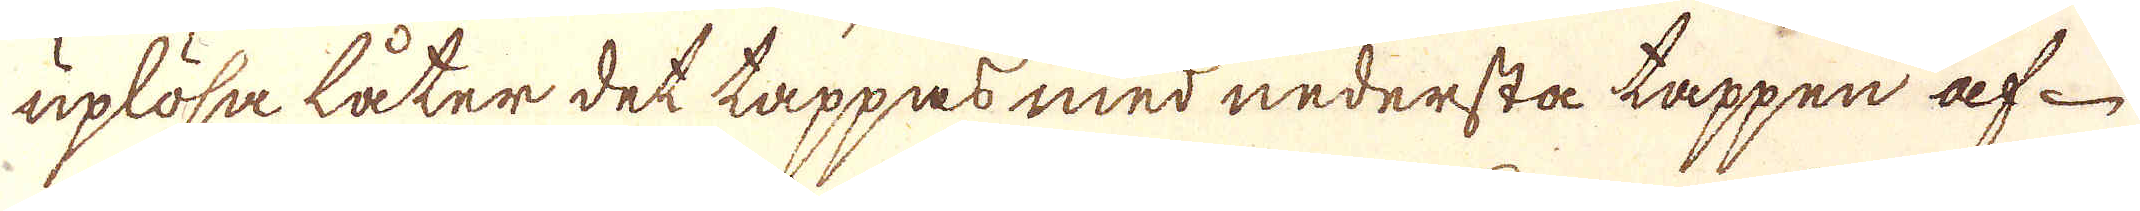uplösa låter det tappas med nedersta tappen af
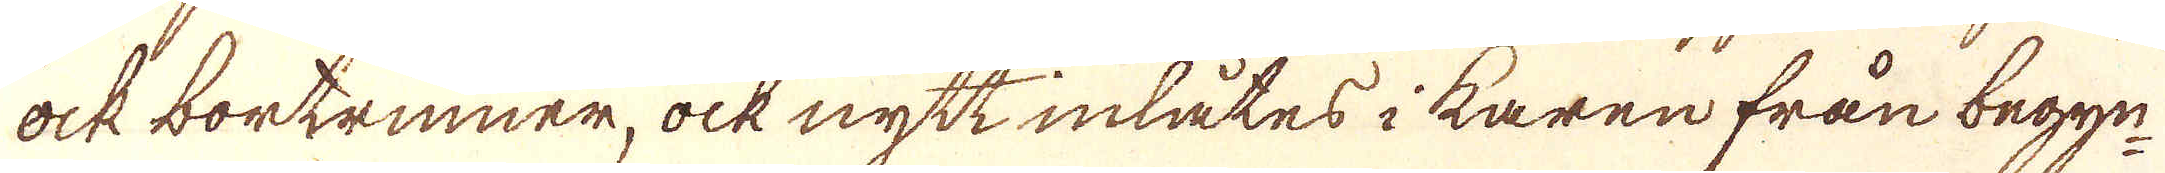ock borttrinner, ock nytt inlåtes i karen från begyn-
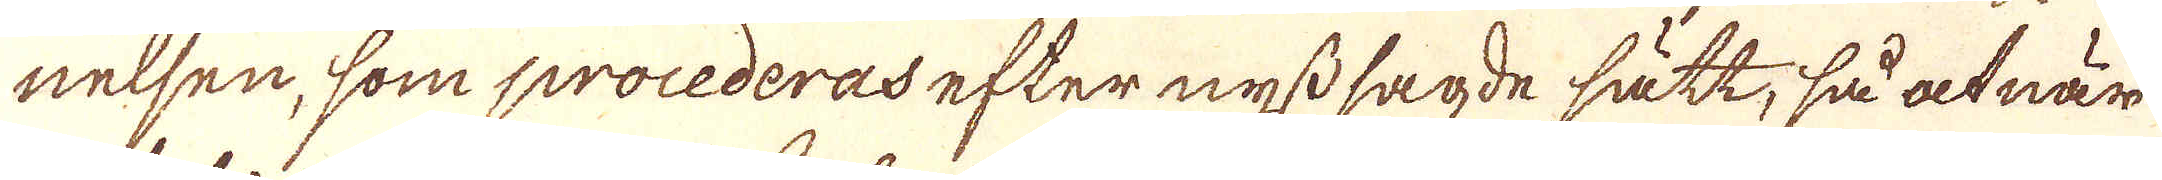nelsen, som procederas efter nyss sagde sätt, så at när
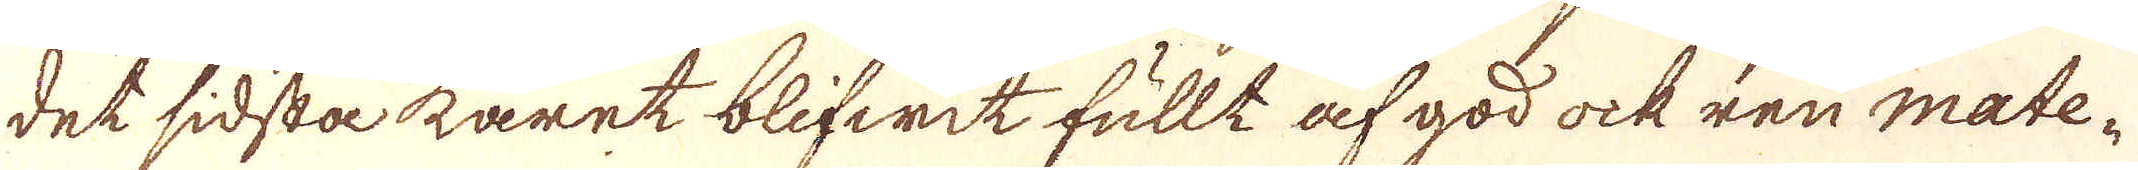det sidska karet blifwit fullt af god ock ren mate-
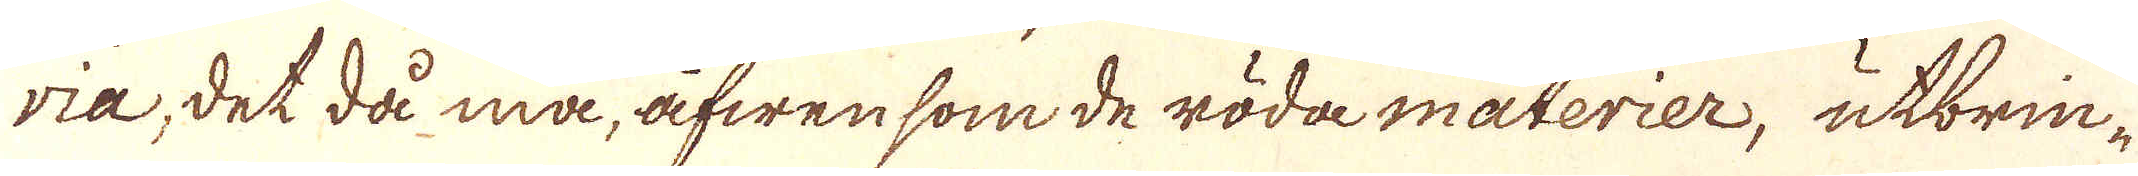ria, det då må, äfwen som de röda materier, utbrin-
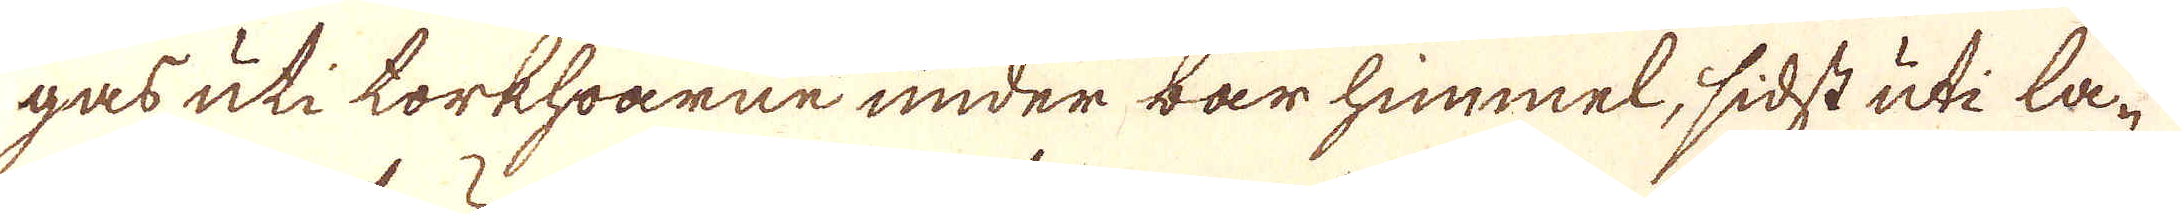gas uti torkhoarne under bar himmel, sidst uti la-
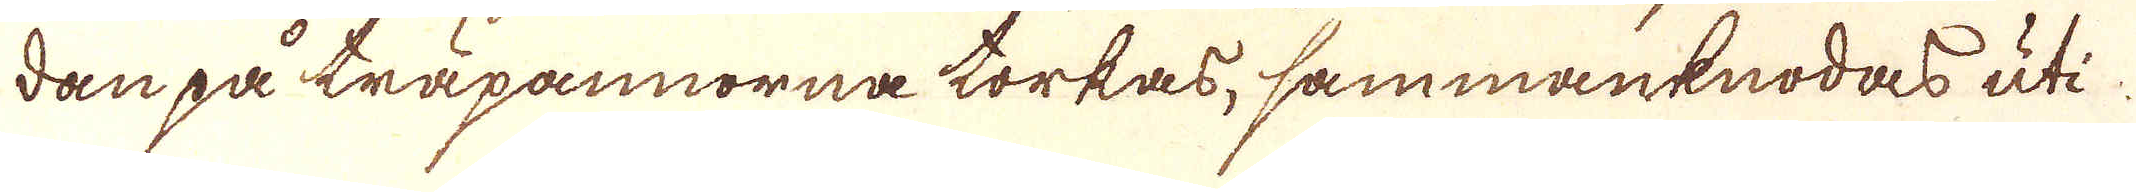dan på träpannorna torkas, sammanknodas uti
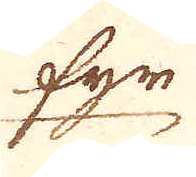fyr
